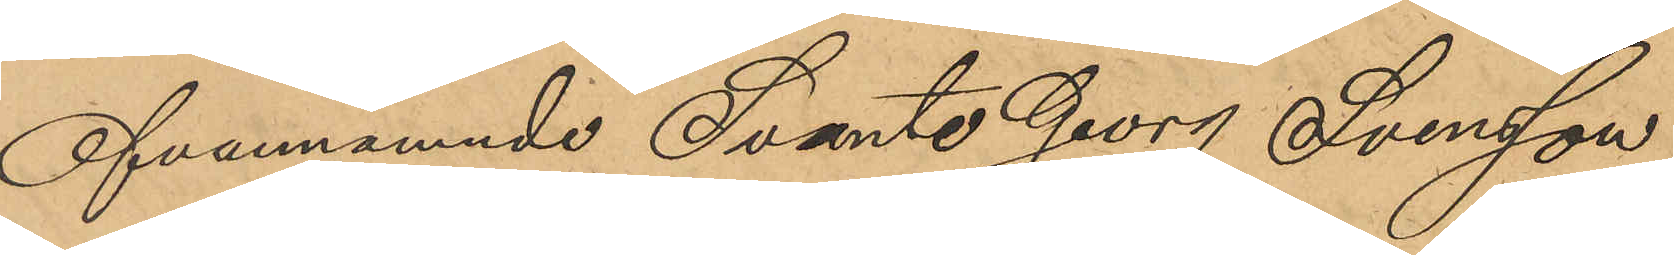Ofvannämnde Svante Georg Svensson
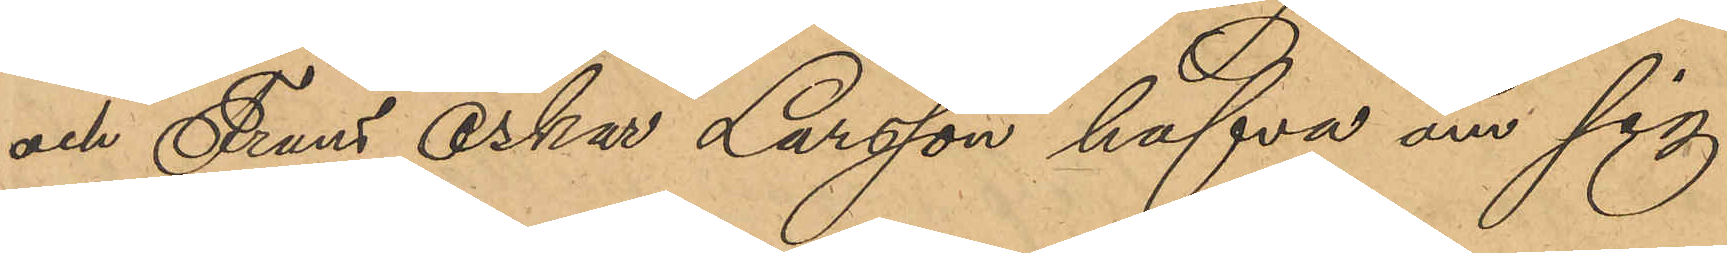och Frans Oskar Larsson hafva om sig
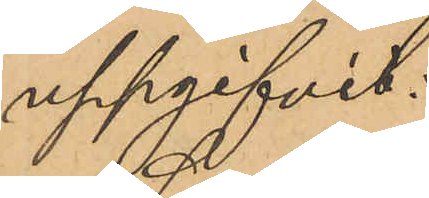uppgifvit:
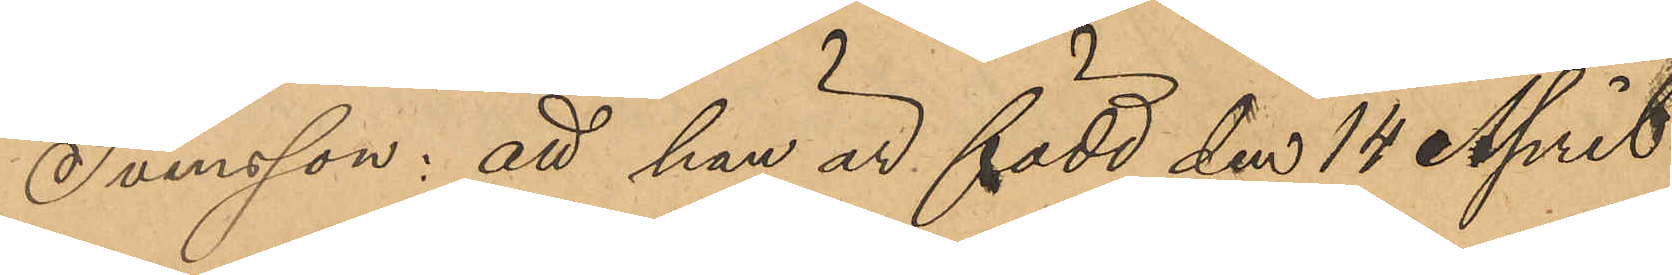Svensson: att han är född den 14 April
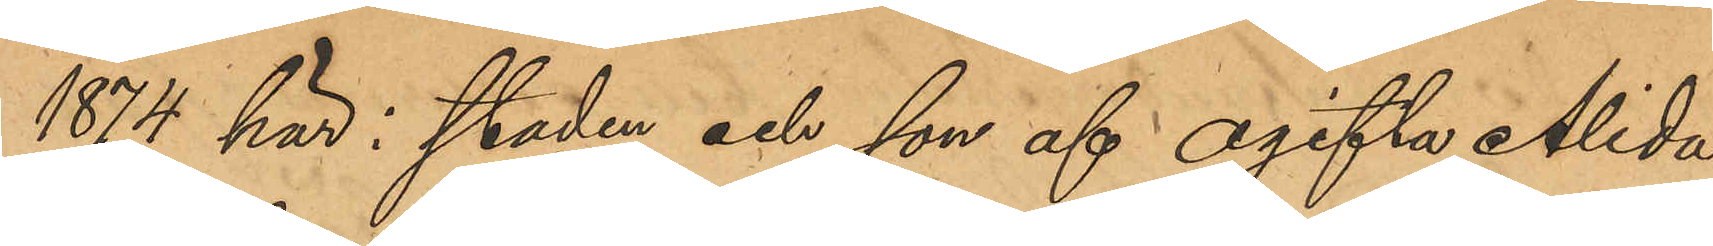1874 här i staden och son af ogifta Alida
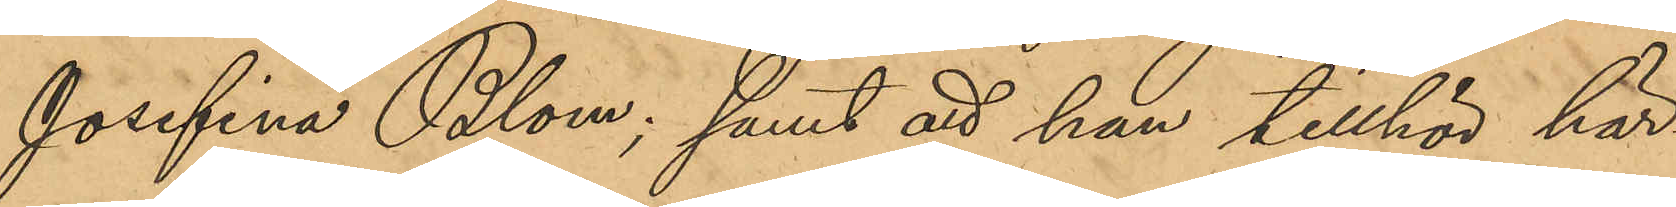Josefina Blom; samt att han tillhör här¬
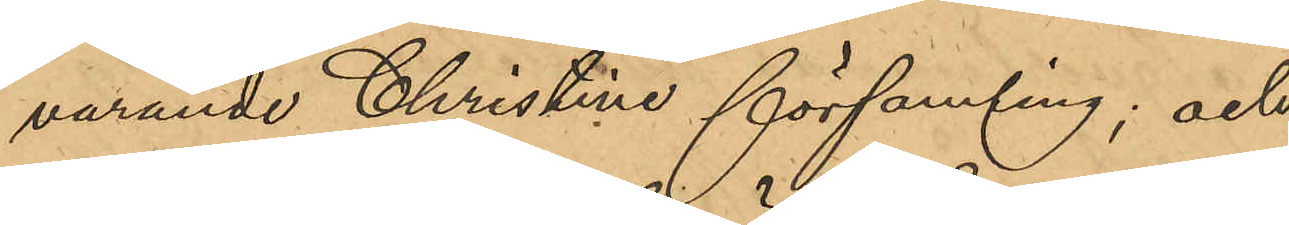varande Christine församling; och
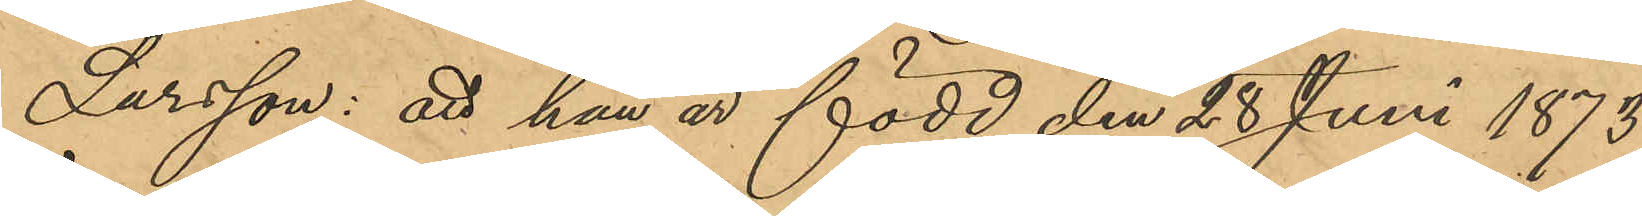Larsson: att han är född den 28 Juni 1873
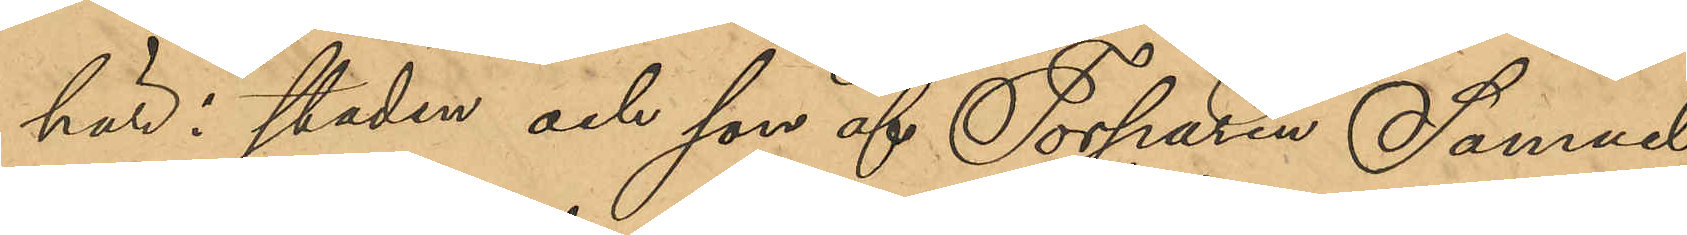här i staden och son af Torparen Samuel
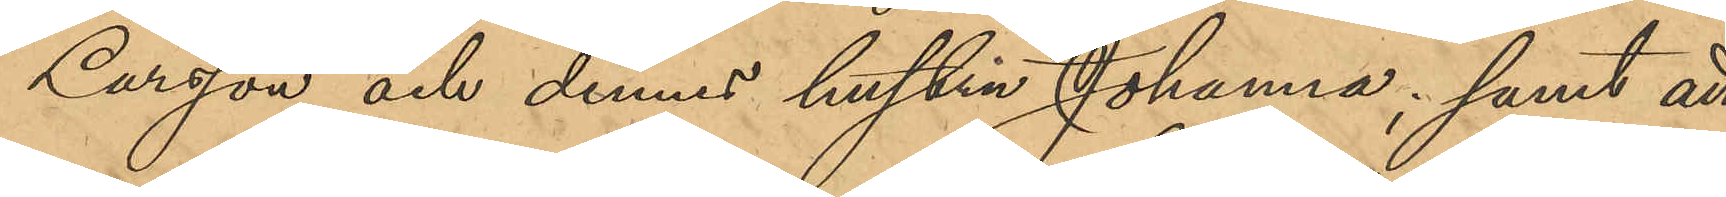Larsson och dennes hustru Johanna; samt att
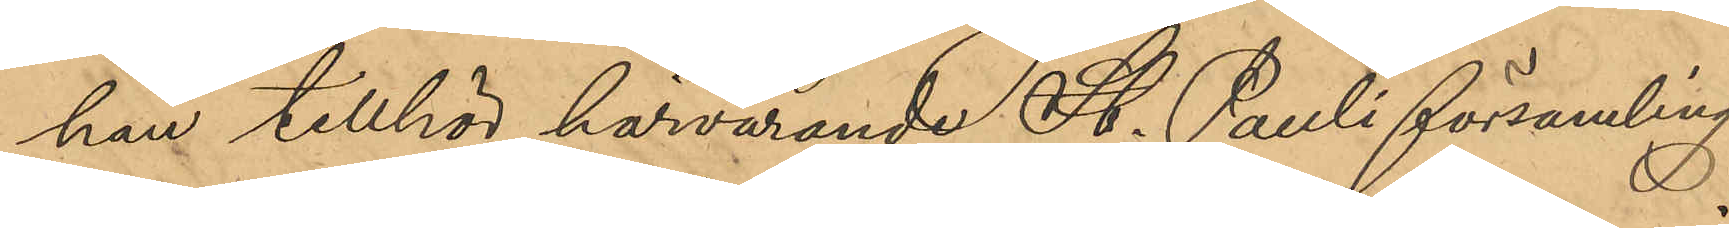han tillhör härvarande St. Pauli församling.
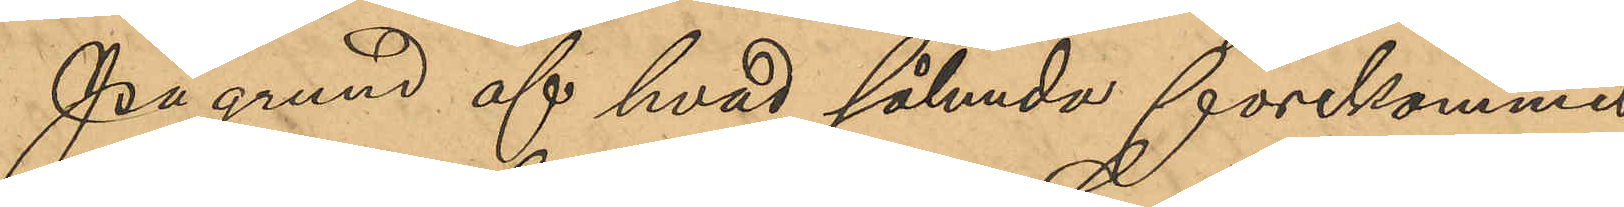På grund af hvad sålunda förekommit
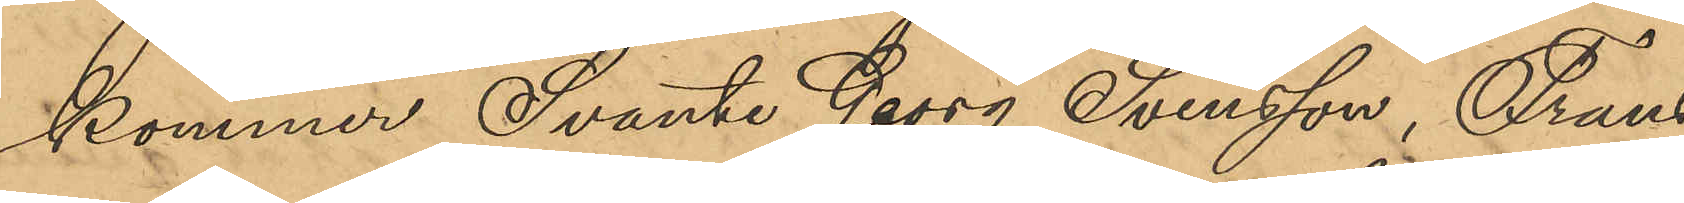kommer Svante Georg Svensson, Frans
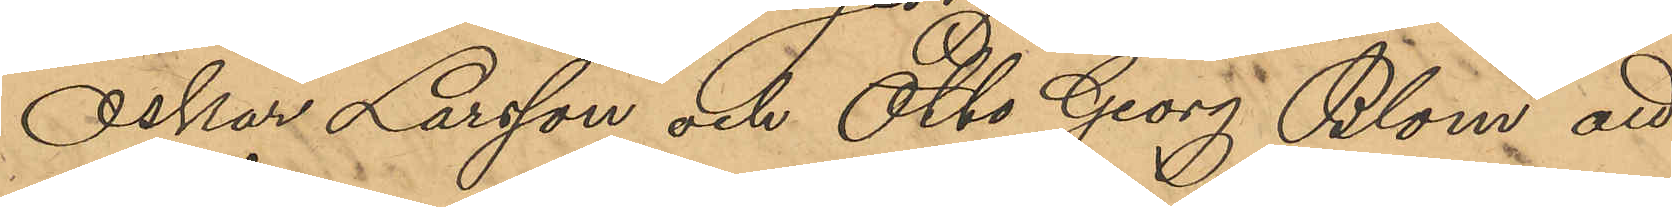Oskar Larsson och Otto Georg Blom att
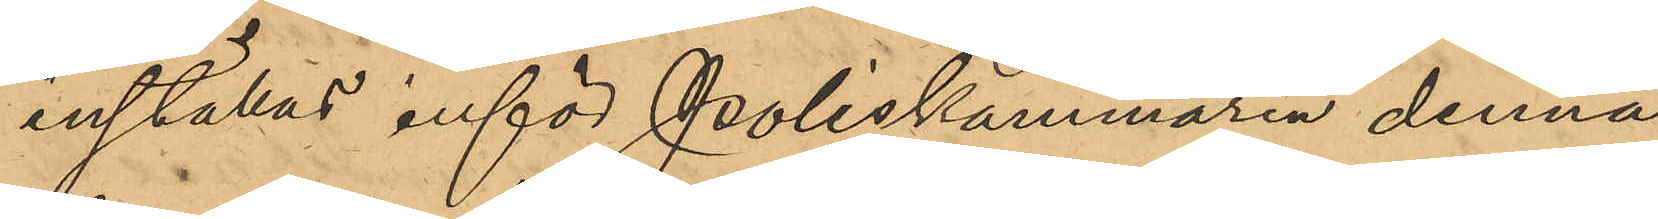inställas inför Poliskammaren denna
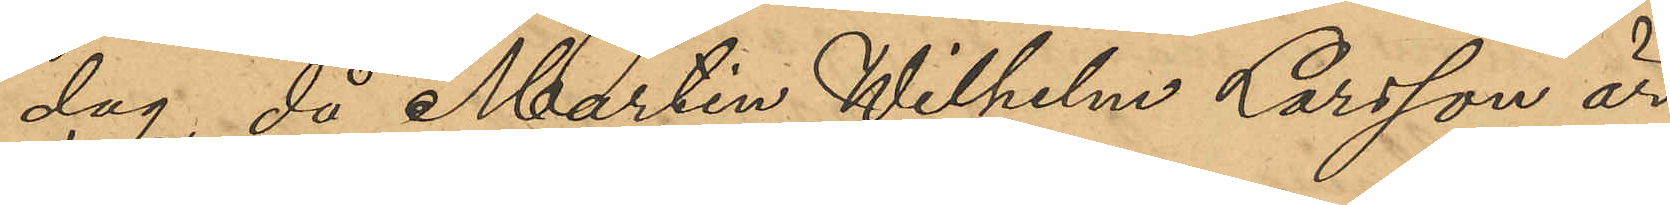dag, då Martin Wilhelm Larsson är
